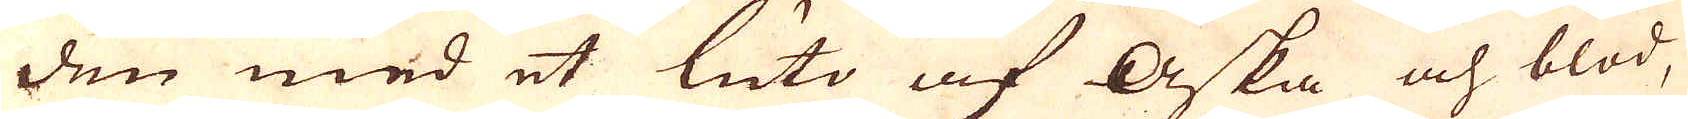den med et luto af Aska och blod,
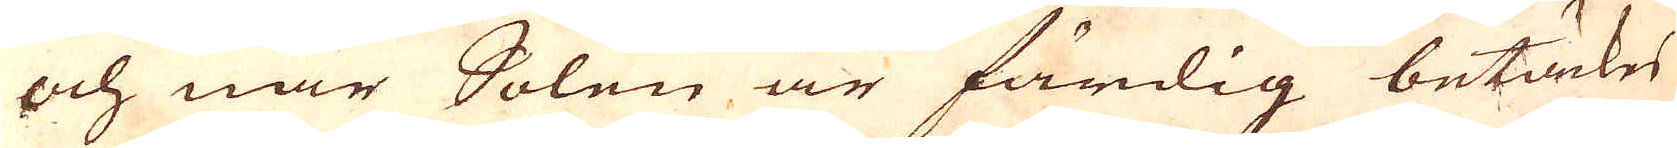och när Solen är färdig betäckes
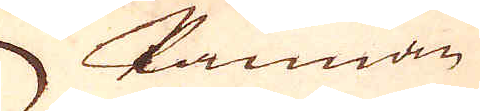kannan
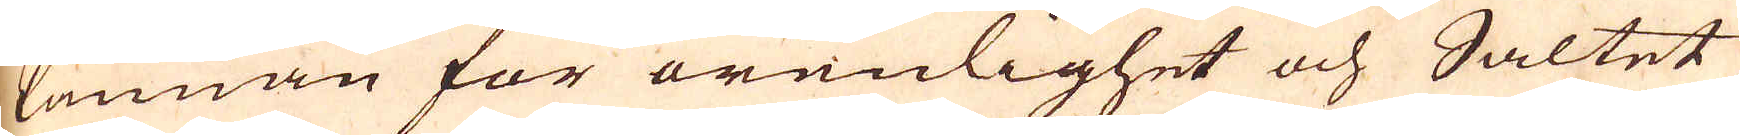kannan för orenlighet och Saltet
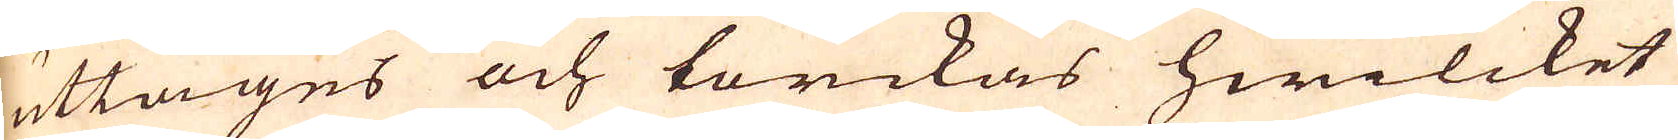uttages och torckas hwilcket
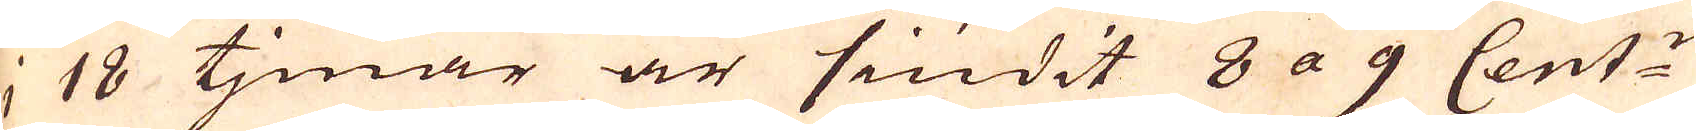i 18 tjmar är siudit 8 a 9 Cent:r
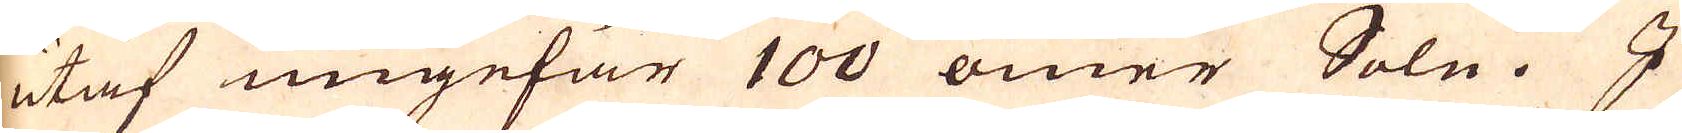utaf ungefär 100 ömer Soln. I
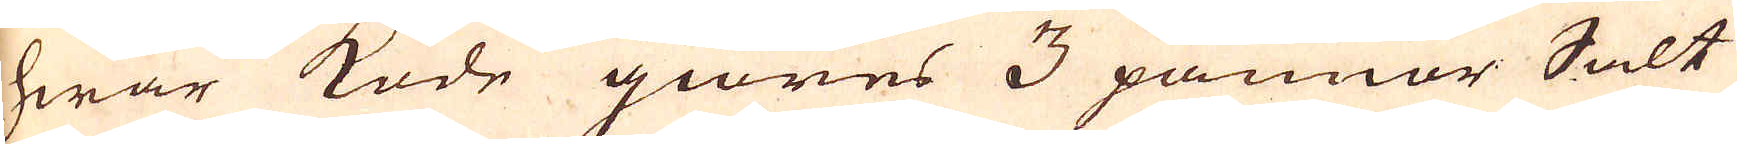hwar kode giöres 3 pannor Salt
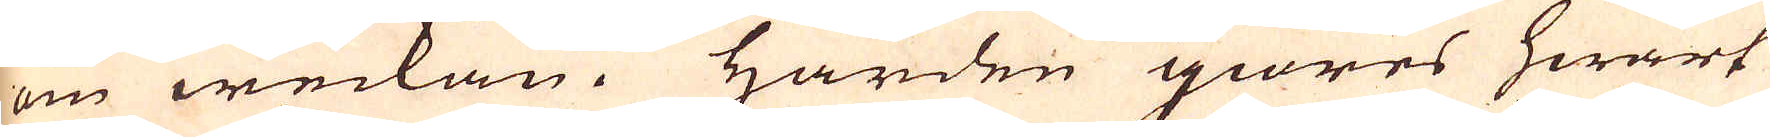om weckan. Härden giöres hwart
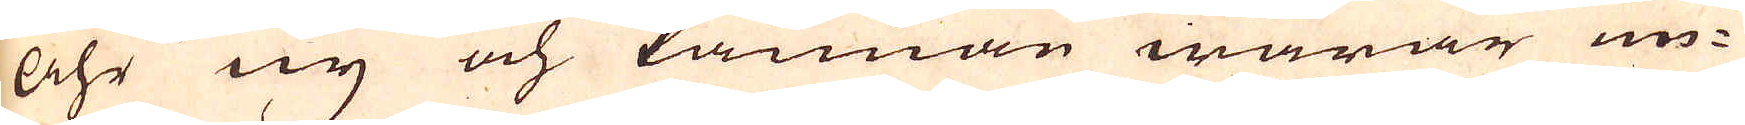åhr ny och kannan warar un-
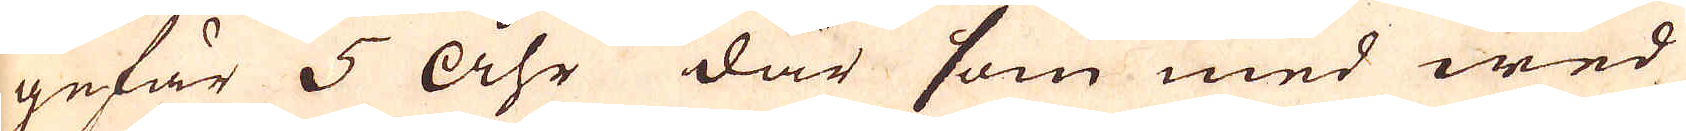gefär 5 Åhr där som med wed
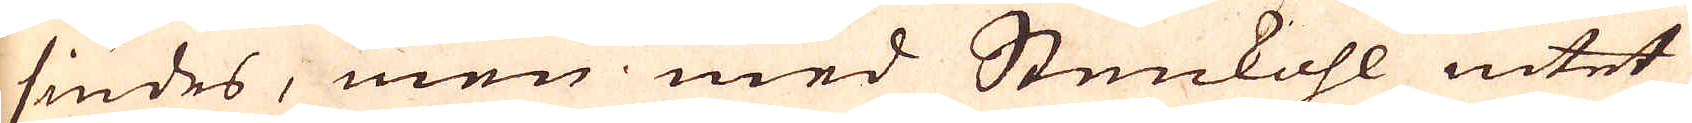siudes, men med Stenkohl intet
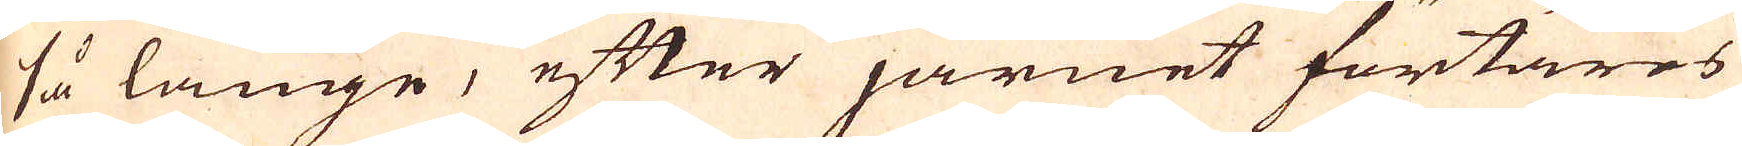så länge, efter järnet förtäres
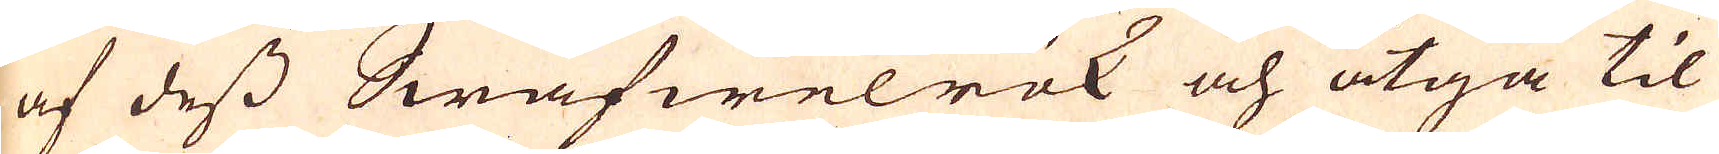af dess Swäfwelrök och åtgå til
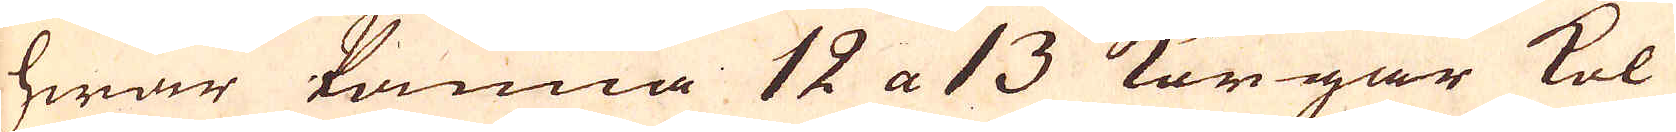hwar kanna 12 a 13 Korgar kol
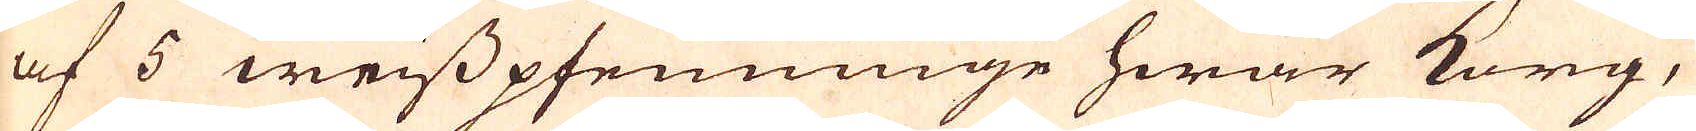af 5 weisspfenninge hwar korg,
